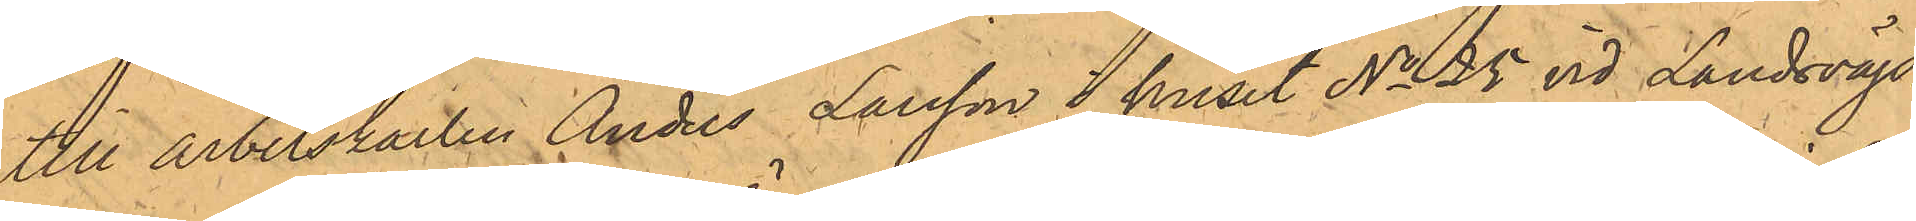till arbetskarlen Anders Larsson i huset No 25 vid Landsvägs¬
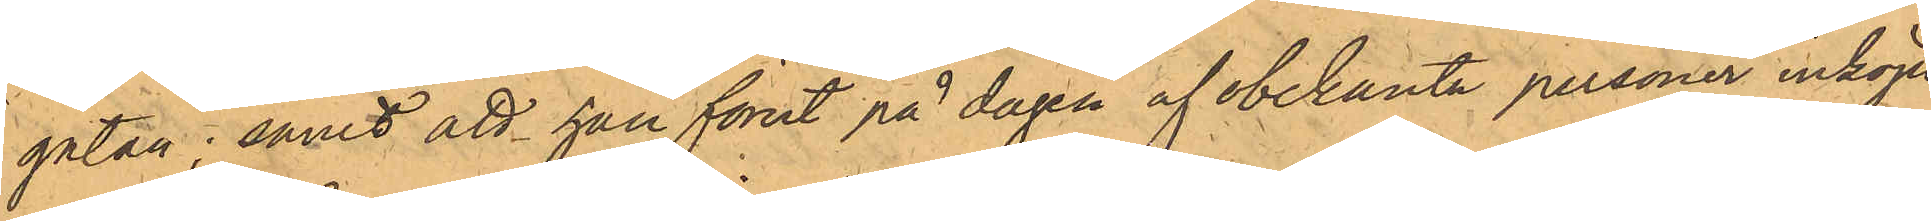gatan; samt att han förut på dagen af obekanta personer inköpt
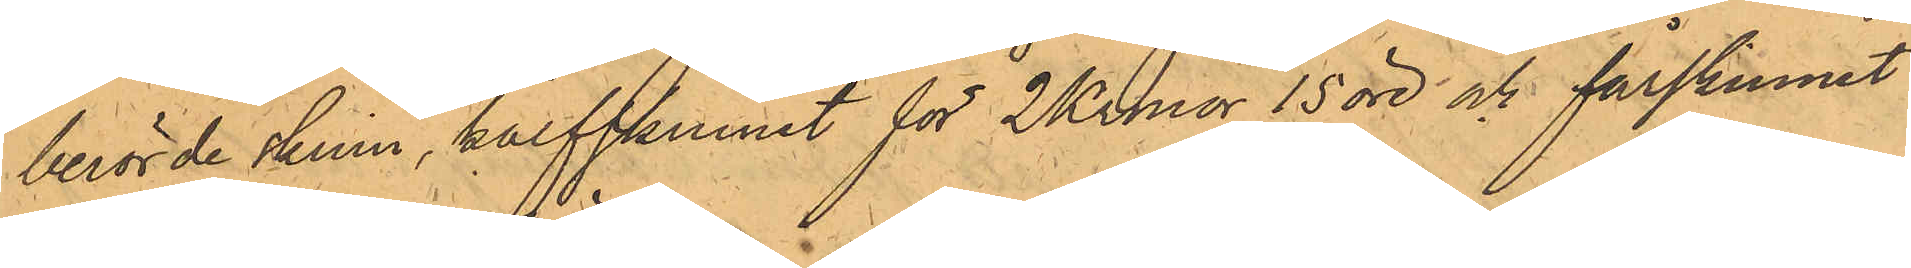berörde skinn, kalfskinnet för 2 Kronor 15 öre och fårskinnet
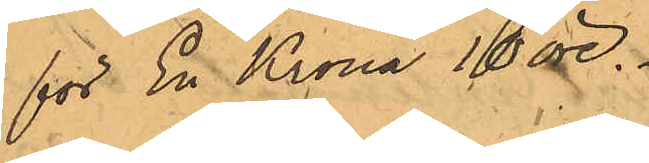för En Krona 10 öre.
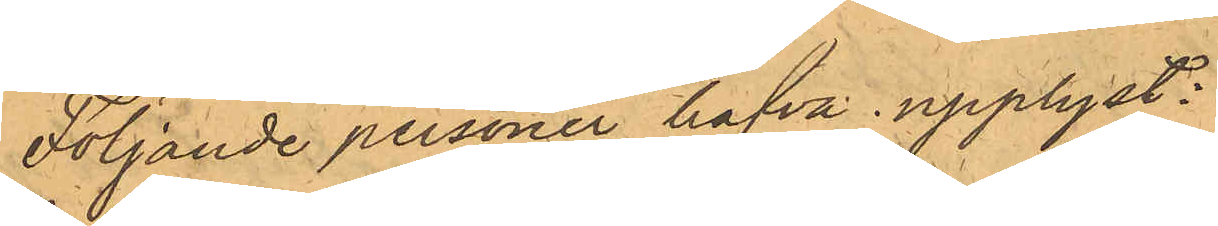Följande personer hafva upplyst:
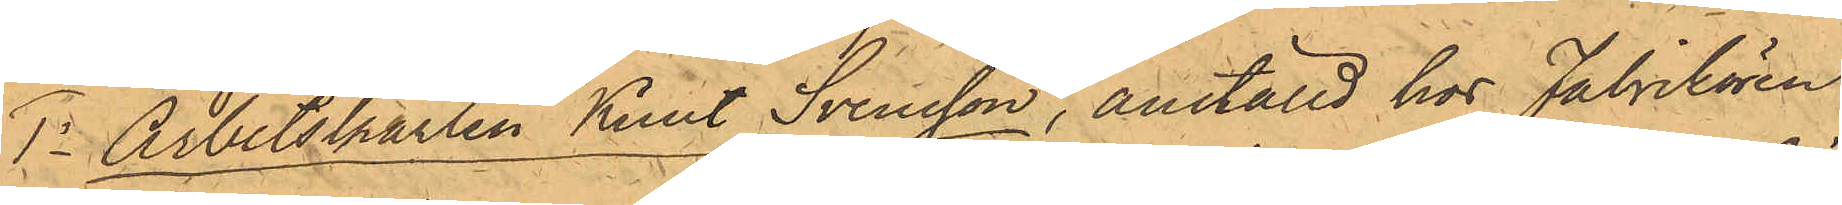1o Arbetskarlen Knut Svensson, anställd hos Fabrikören
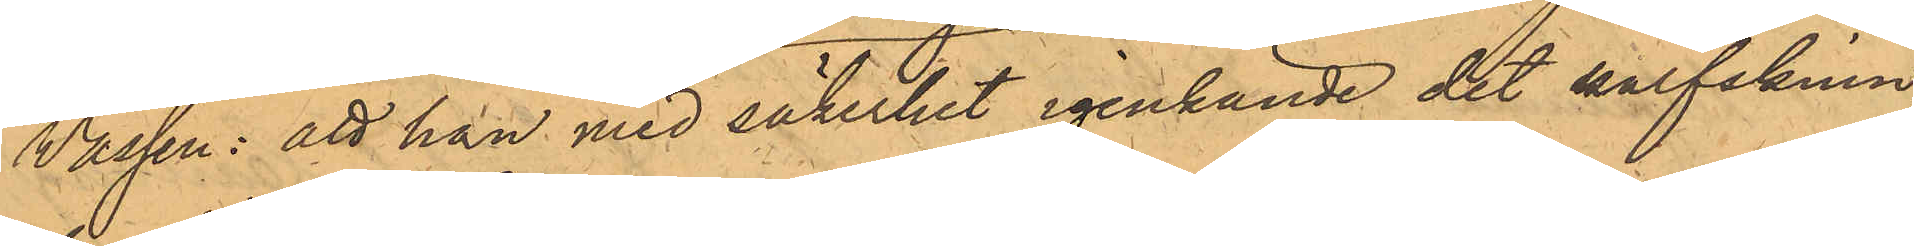Wassen: att han med säkerhet igenkände det kalfskinn,
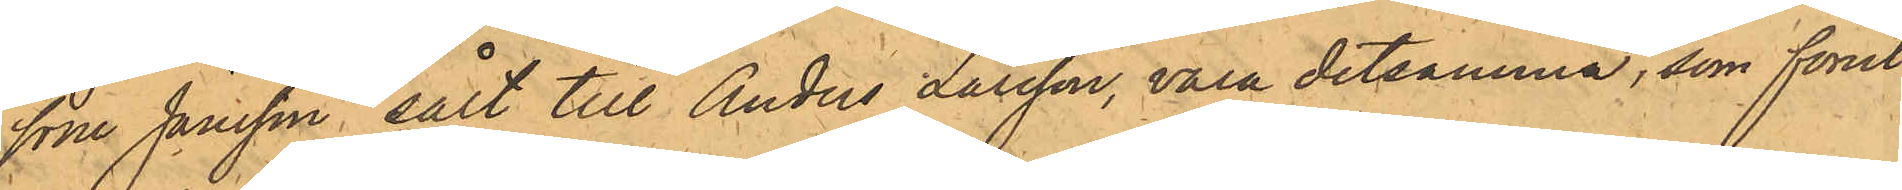som Jansson sålt till Anders Larsson, vara detsamma, som förut
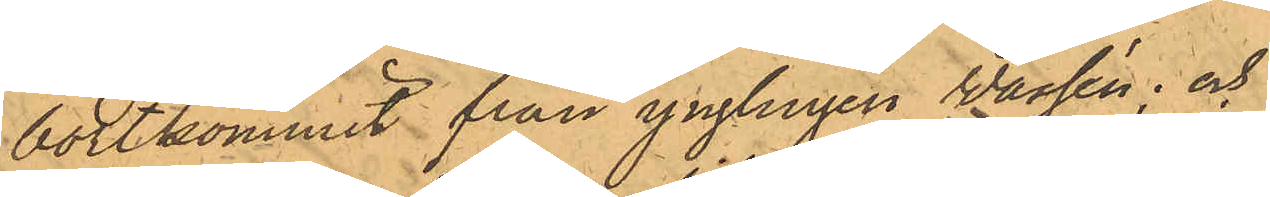bortkommit från ynglingen Wassén; och
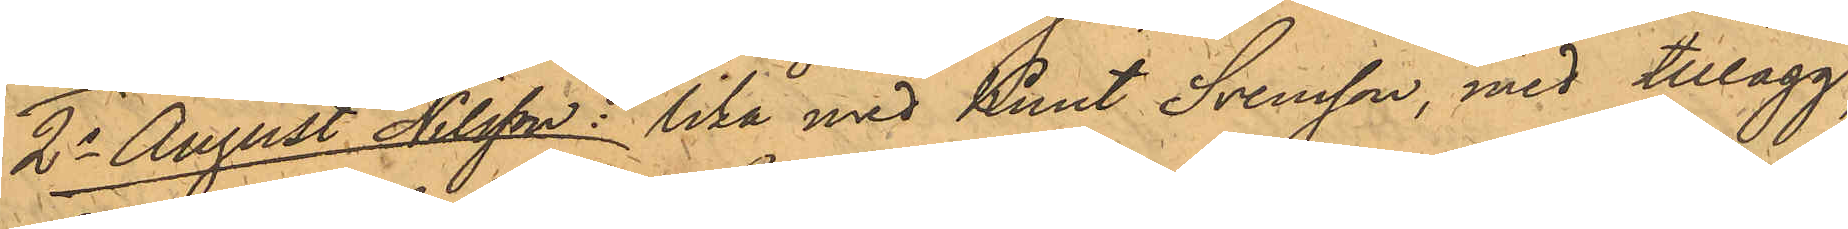2o August Nilsson: lika med Knut Svensson, med tillägg,
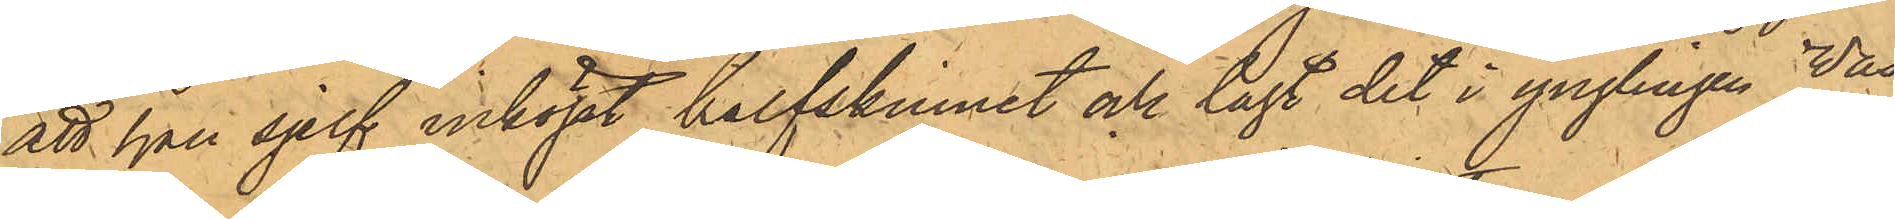att han sjelf inköpt kalfskinnet och lagt det i ynglingen Was¬
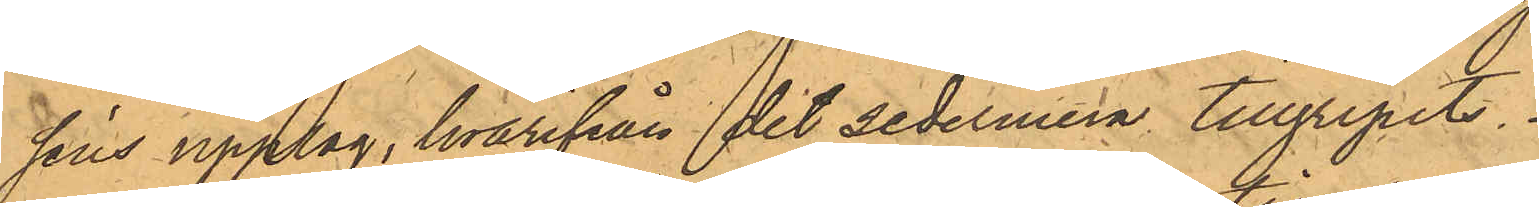séns upplag, hvarifrån det sedermera tillgripits.
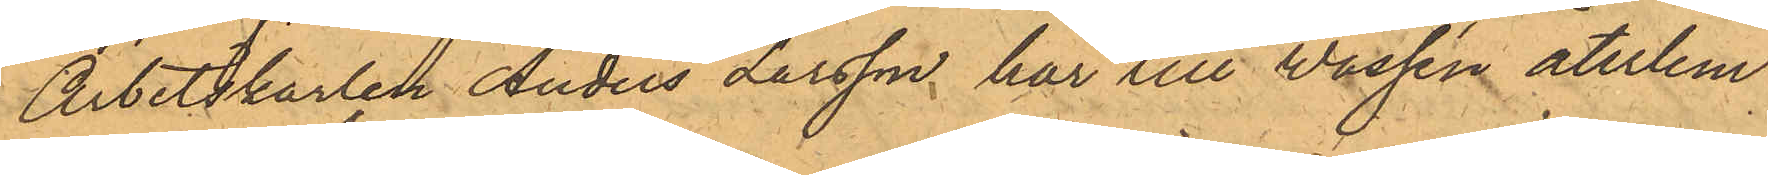Arbetskarlen Anders Larsson har till Wassén återlem¬
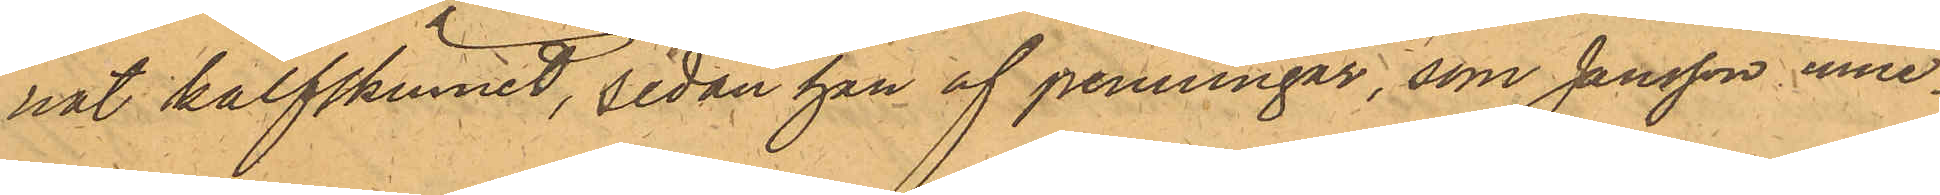nat kalfskinnet, sedan han af penningar, som Jansson inne¬
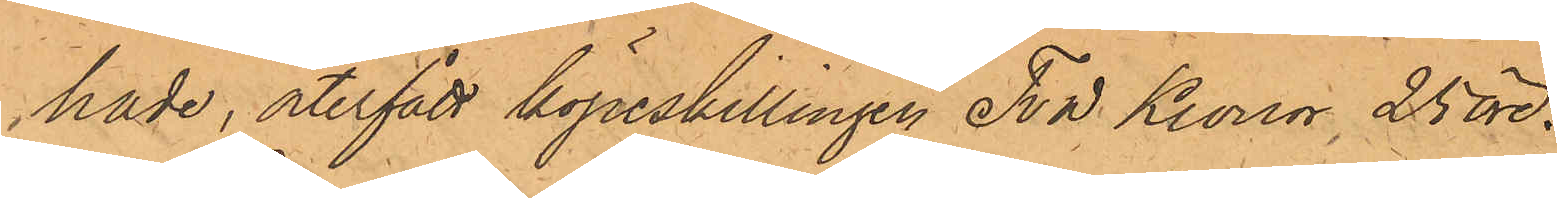hade, återfått köpeskillingen Två Kronor 25 öre.
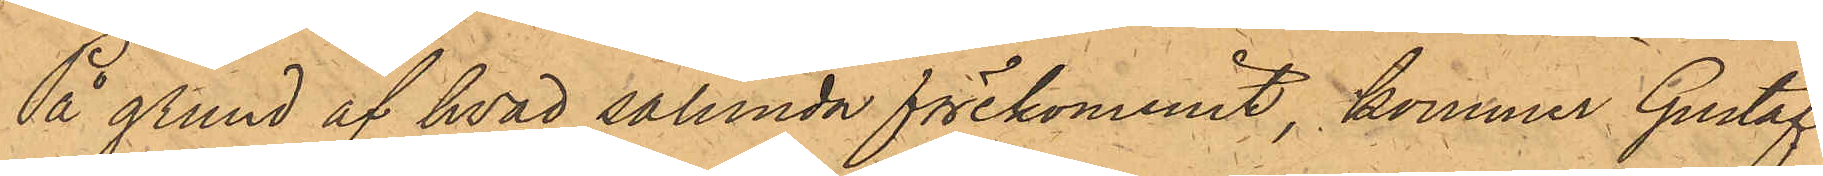På grund af hvad sålunda förekommit, kommer Gustaf
